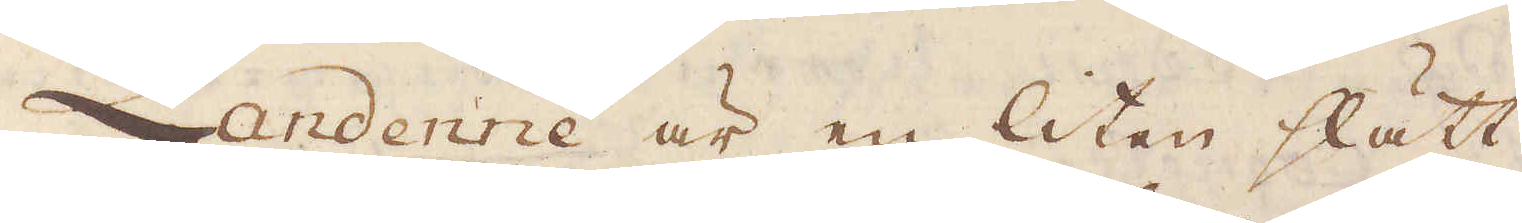Landerine är en liten slätt
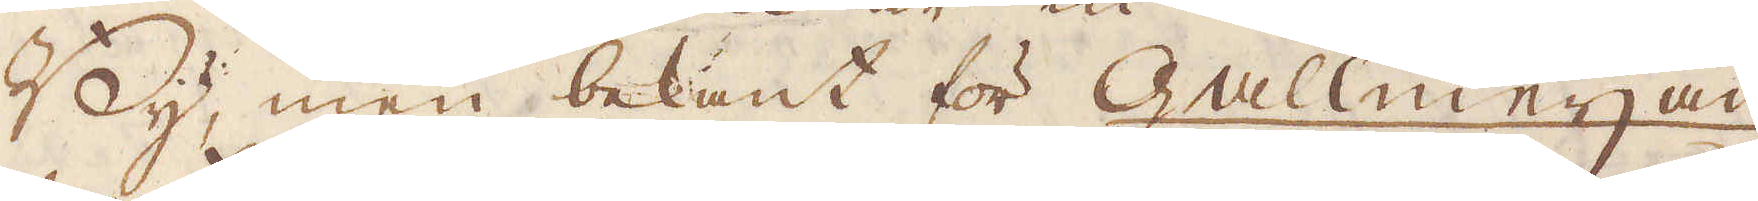By, men bekant för Gallmeijan,
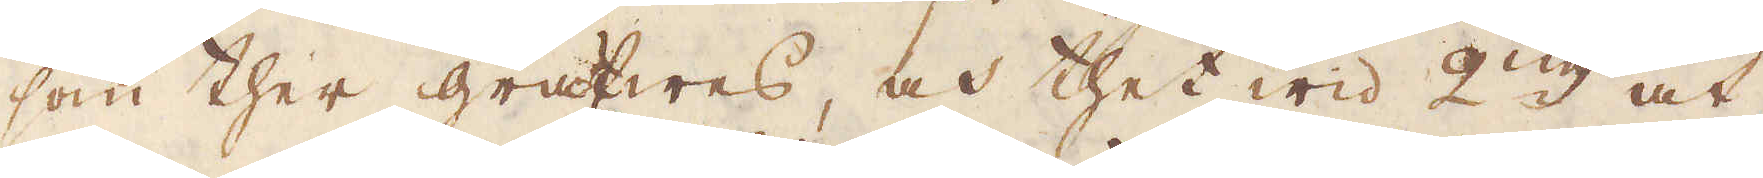som ther gräfwas, och thet wid 2:ne åt-
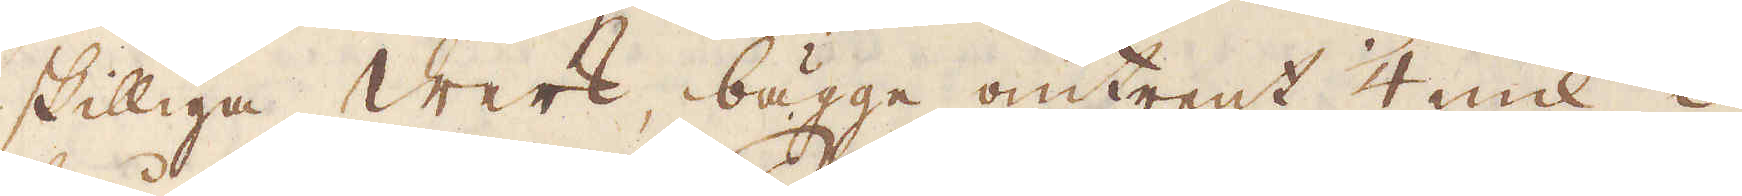skilliga werk, bägge omtrent 1/4 mil i-
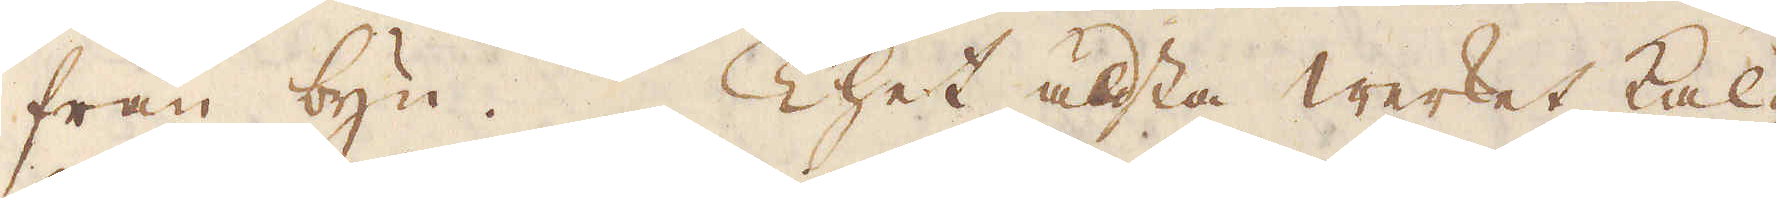från byn. Thet äldsta werket kal-
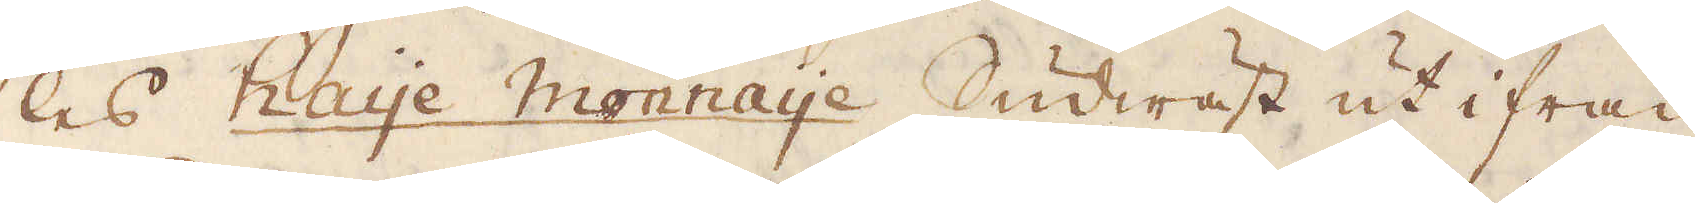las Haye Monnaye Sudwäst ut ifrån
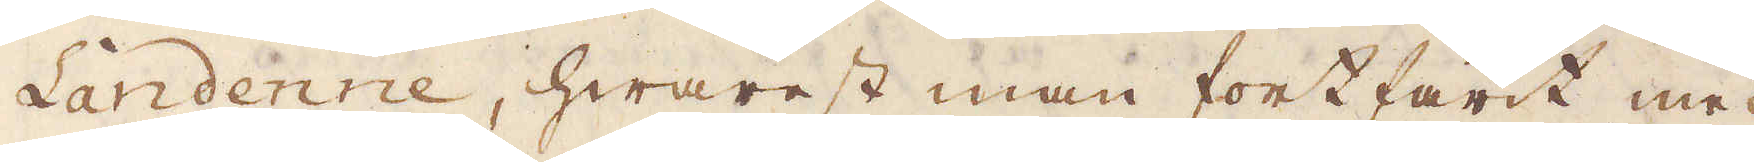Landenne, hwarest man fortfarit med
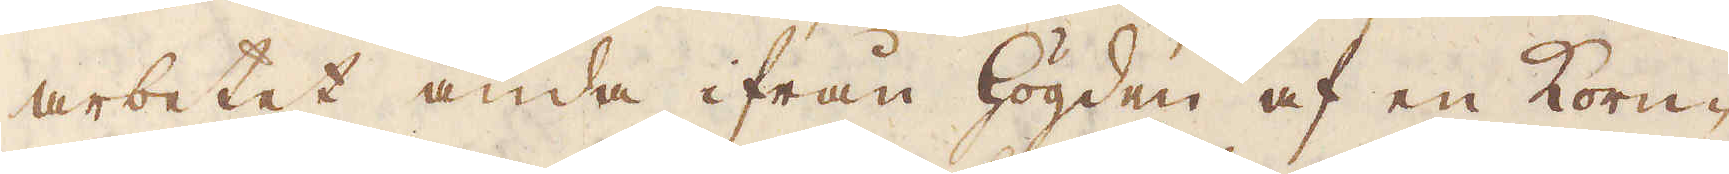arbetet ända ifrån Högden af en Korn-
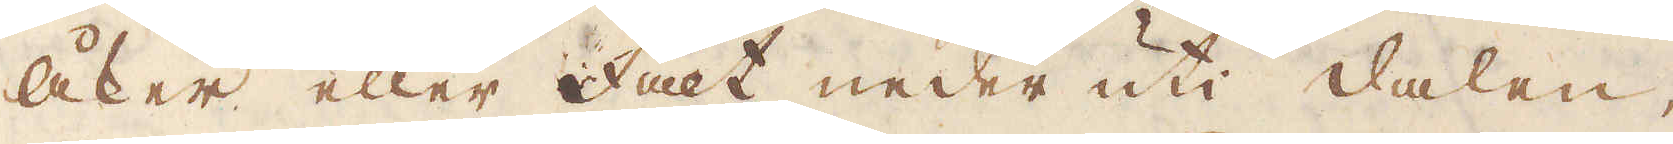åker eller Fält under uti dalen,
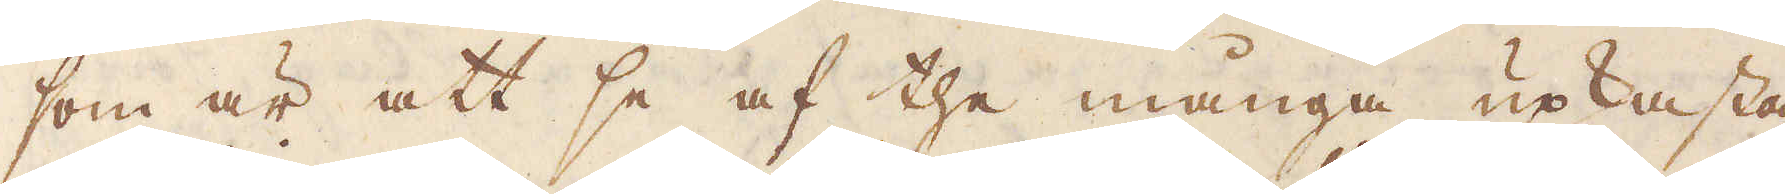som är att se af the många upkasta-
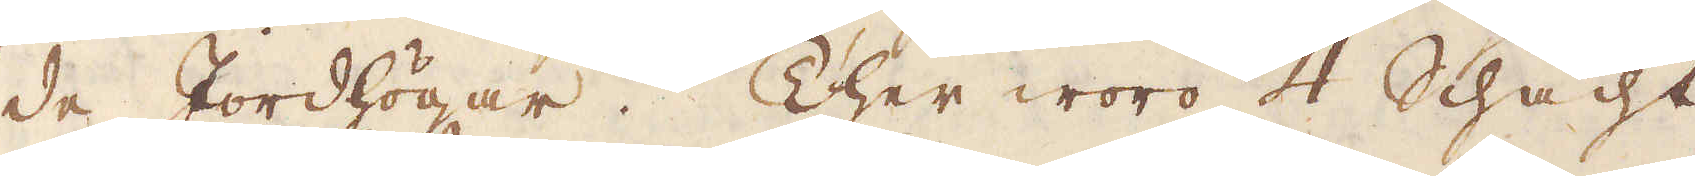de Jordhögar. Ther woro 4 Schacht
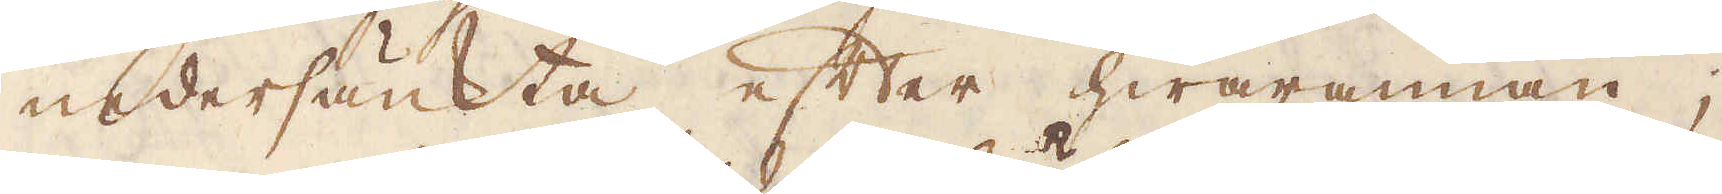undersänkta efter hwarannan;
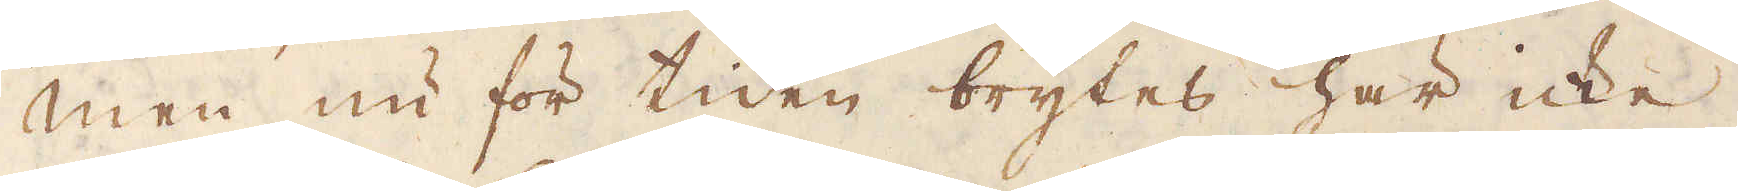men nu för tiden brytes här icke
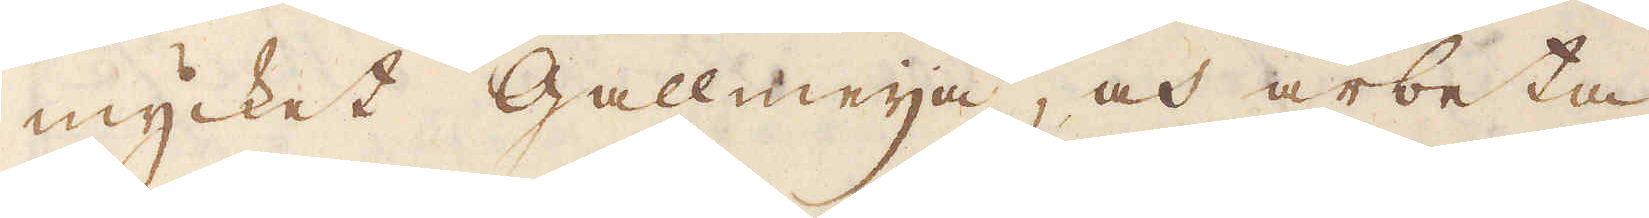mycket Gallmeija, och arbeta
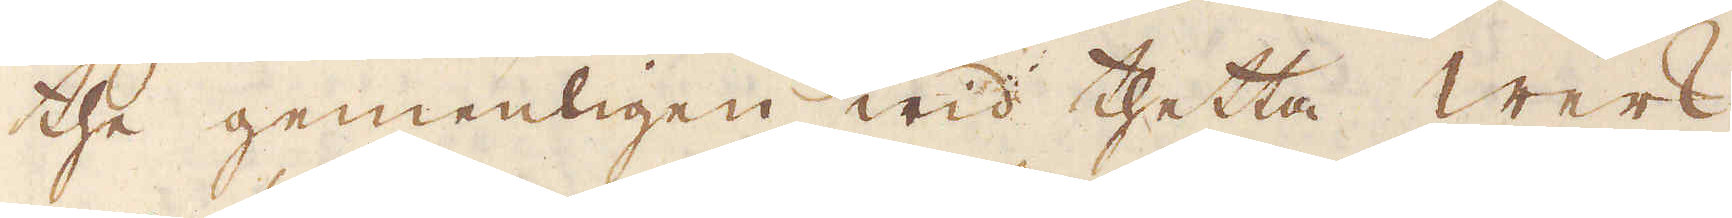the gemenligen wid thetta werk
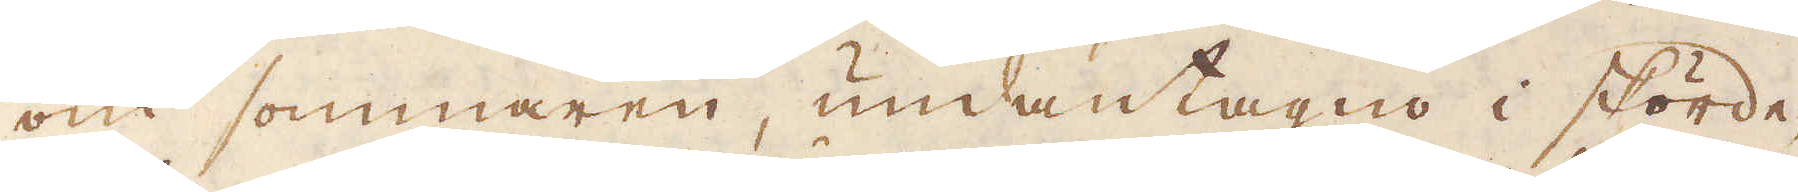om sommaren, undantagno i skörde-
